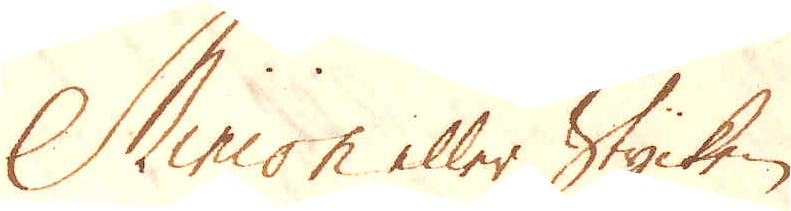Minion eller Stycken
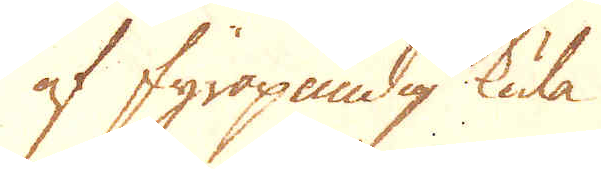af fyrapundig kula
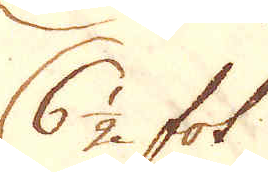6 1/2 fot.
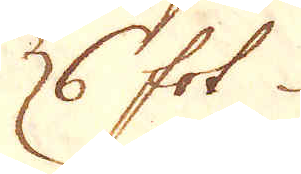6 fot
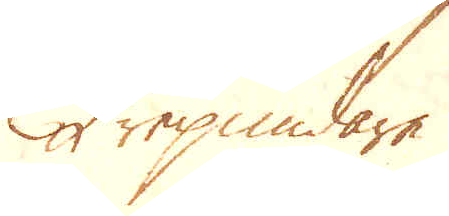Trepundare
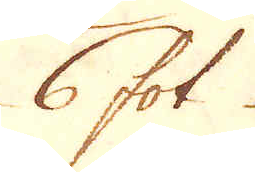6 fot
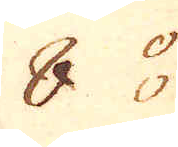8
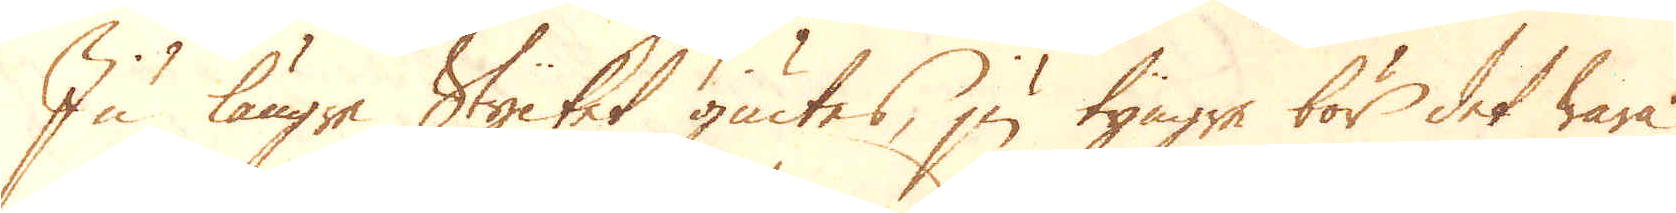Ju längre Stycket giutes, ju tyngre bör det wara
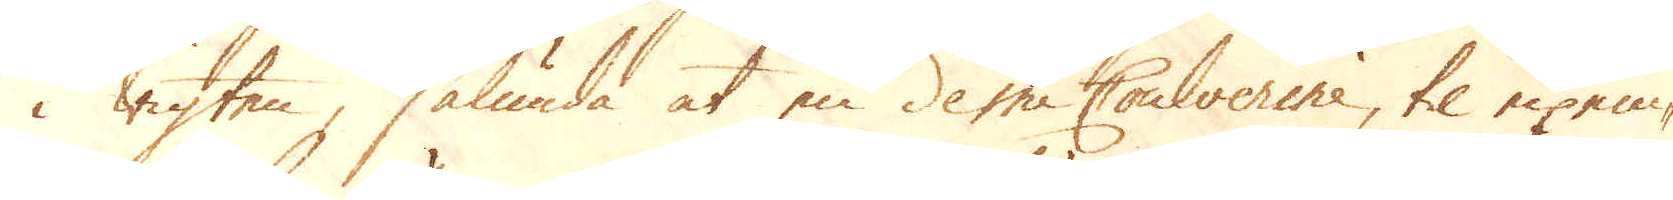i wigten, sålunda at en demi Coulverine, til exem-
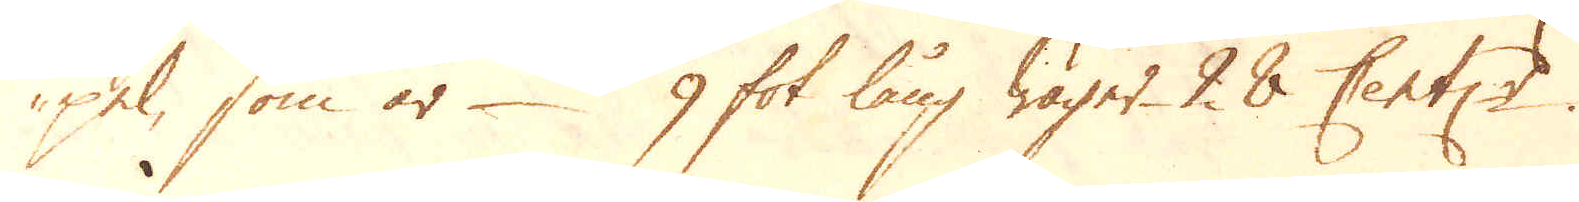pel, som är 9 fot lång wäger 28 Centner.
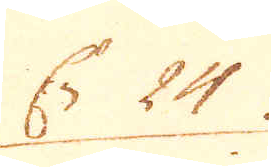En 24
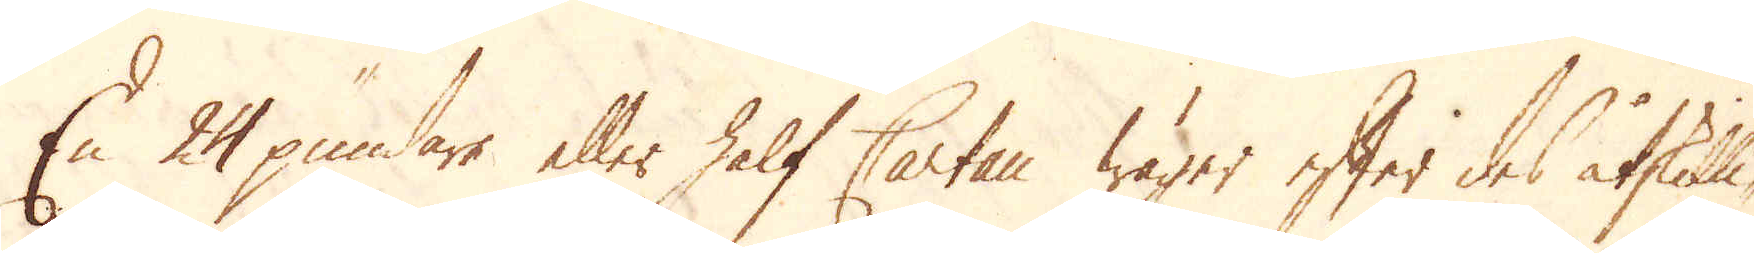En 24 pundare eller half Cartan wärer efter des åtskilli-
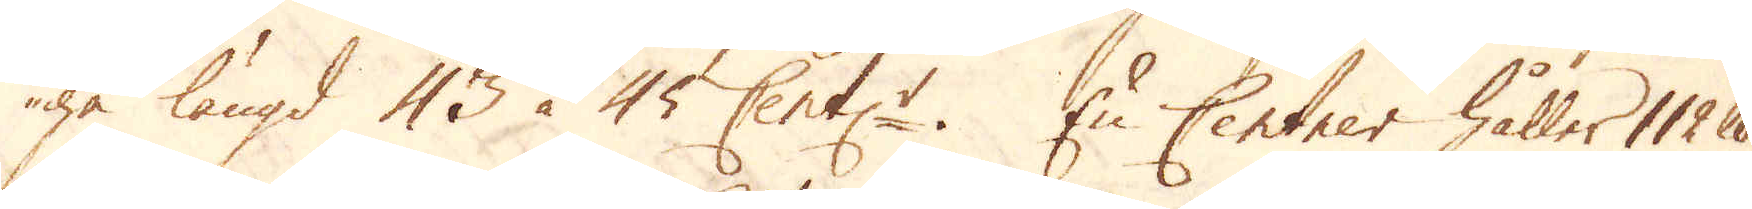ga längd 43 à 45 Cent:r. En Centner håller 112 skålpund
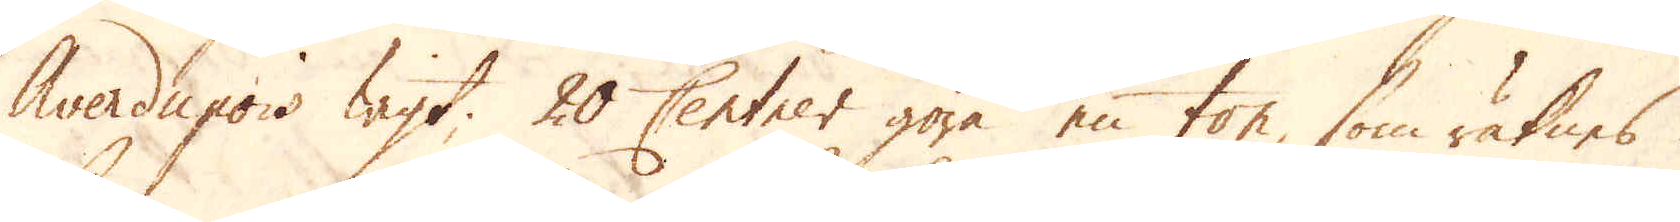Averdupois wigt. 20 Centner göra en ton, som räknes
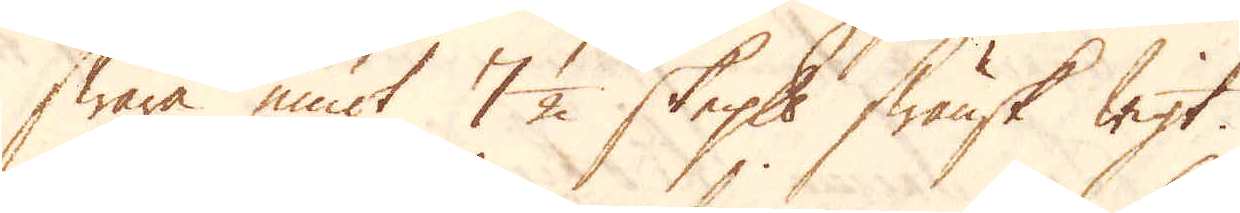swara emot 7 1/2 skeppund, swänsk wigt.
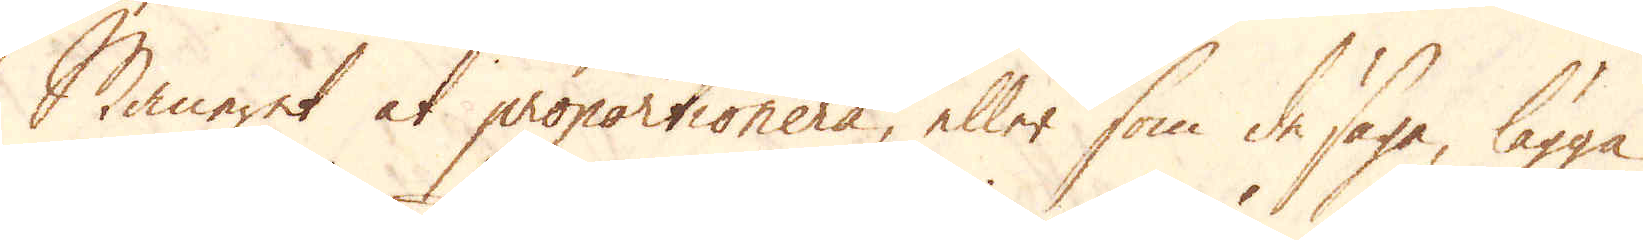Maneret at proportionera, eller som de säga, lägga
